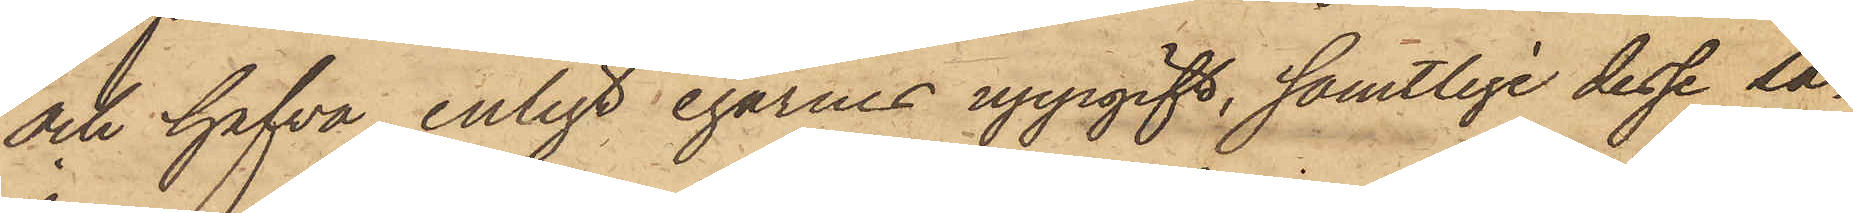och hafva, enligt egarnes uppgift, samtlige dessa sa¬
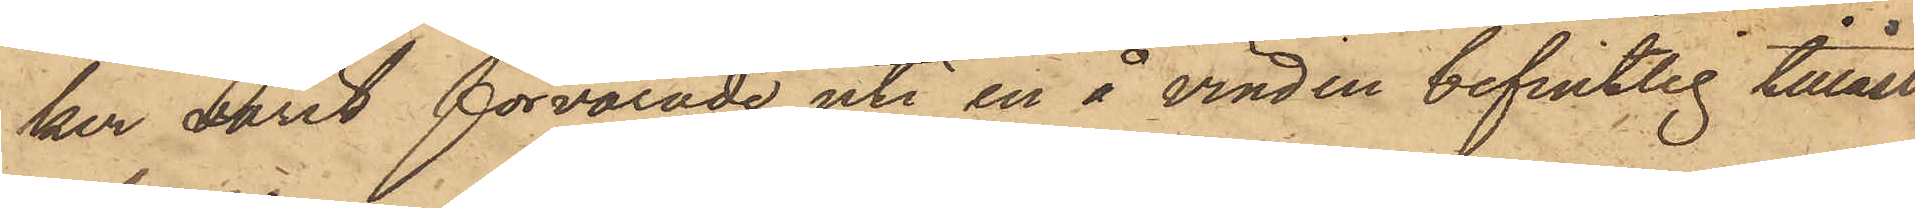ker varit förvarade uti en å vinden befintlig tillåst
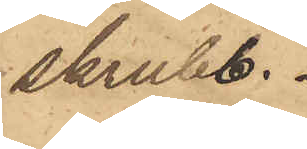skrubb.
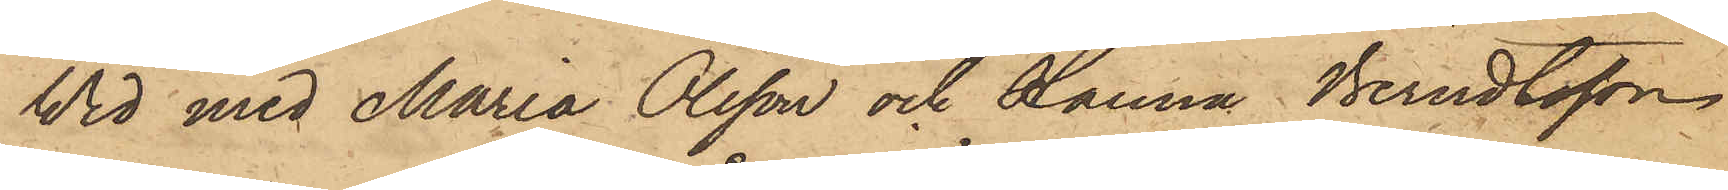Wid med Maria Olsson och Hanna Berndtsson,
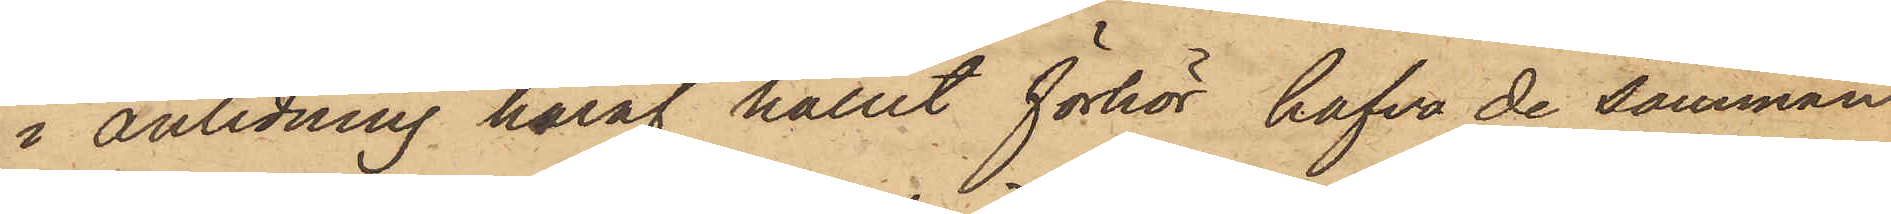i anledning häraf hållit förhör hafva de samman
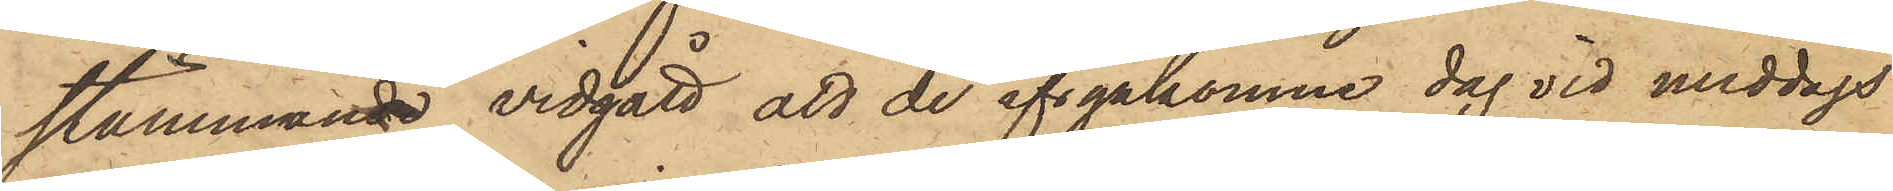stämmande vidgått att de ifrgakomne dag vid middags¬
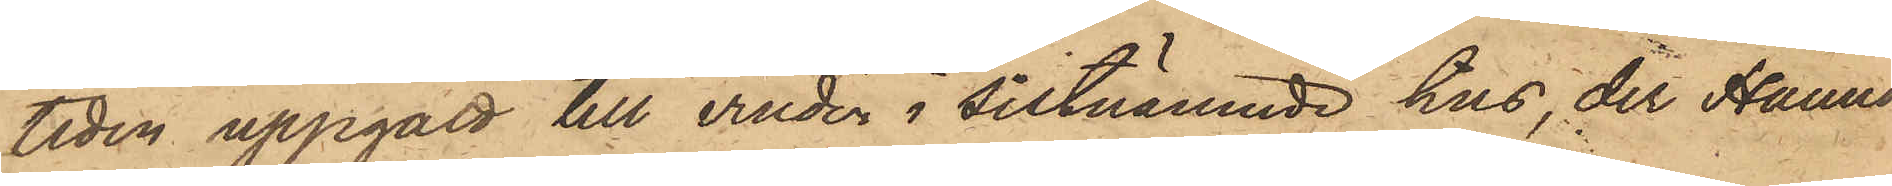tiden uppgått till vinden i sistnämnde hus, der Hanna
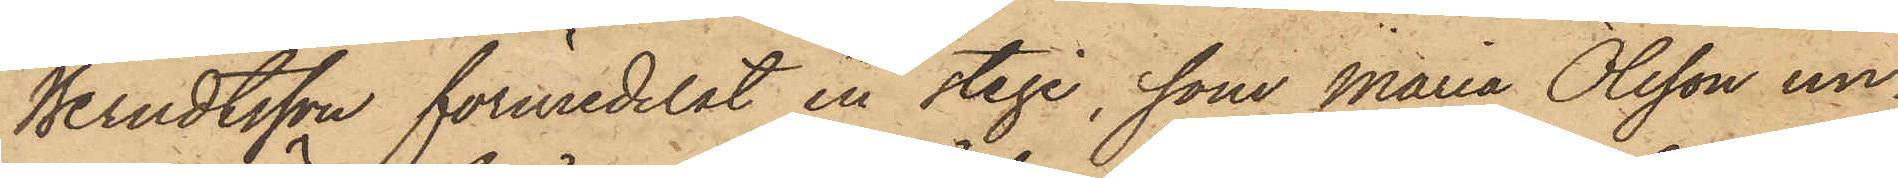Berndtsson förmedelst en stege, som Maria Olsson un¬
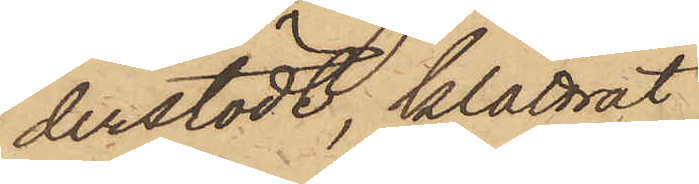derstödt, klättrat
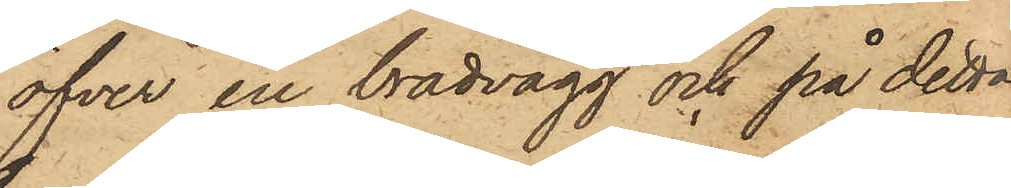öfver en brädvägg och på detta
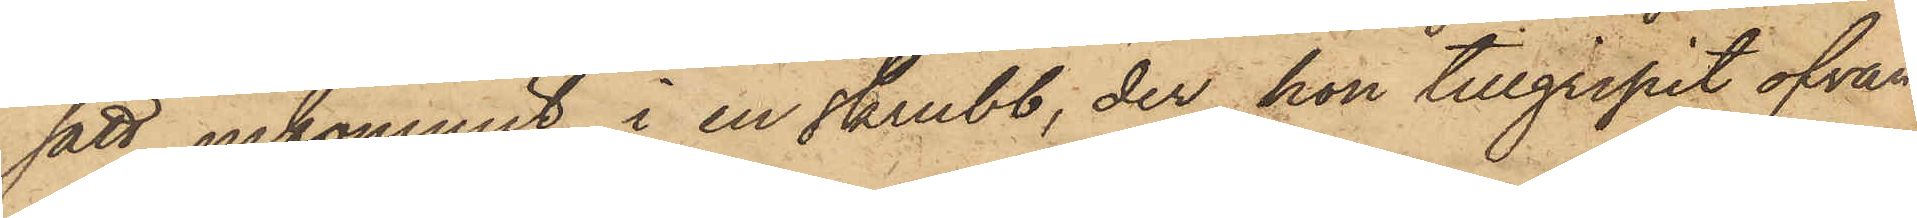sätt inkommit i en skrubb; der hon tillgripit ofvan¬
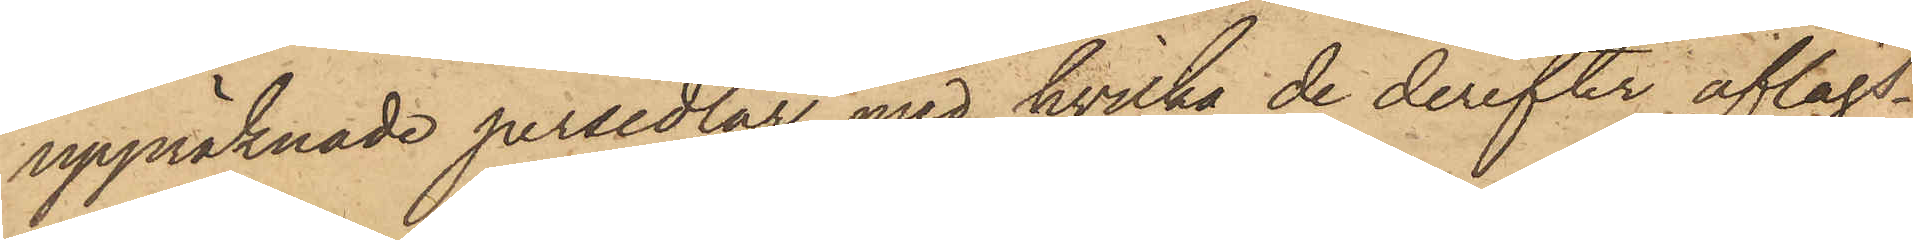uppräknade persedlar, med hvilka de derefter aflägs¬
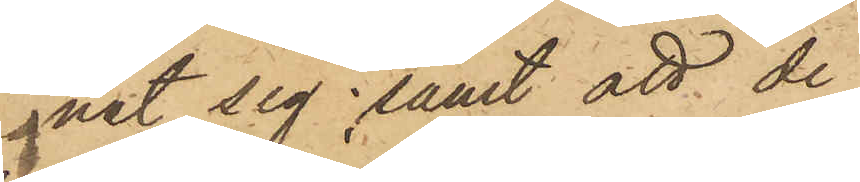nat sig; samt att de
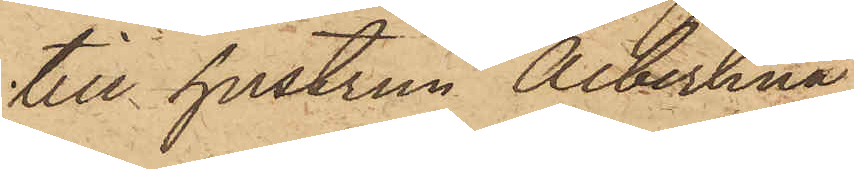till hustrun Albertina
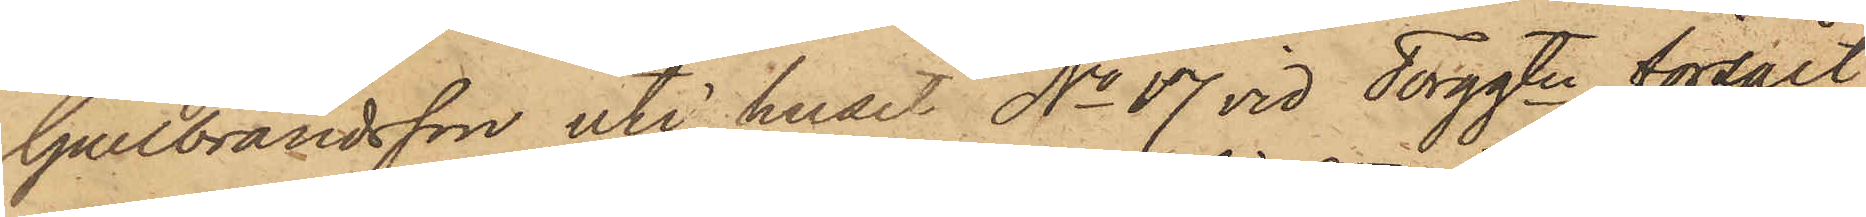Gullbrandsson uti huset No 17 vid Torggtn försålt
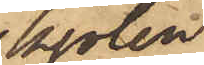kjolen
